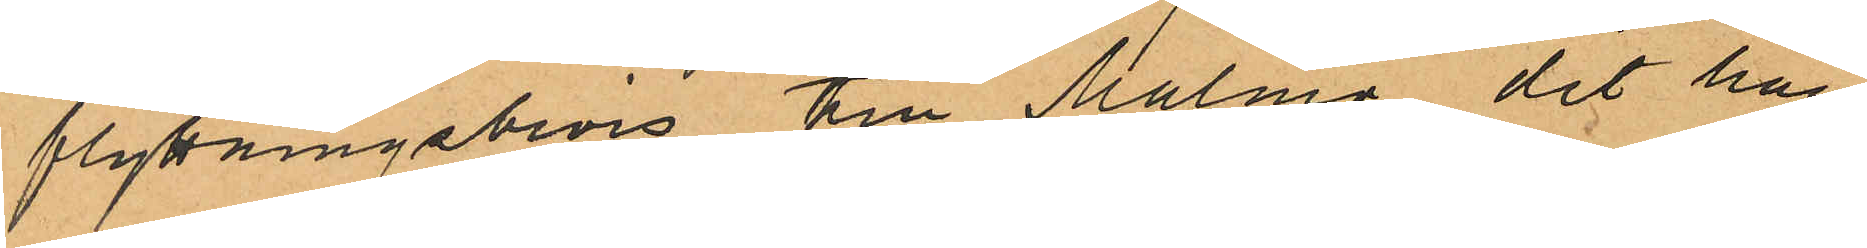flyttningsbevis till Malmö, dit han
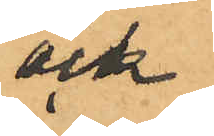och
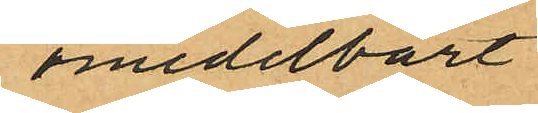omedelbart
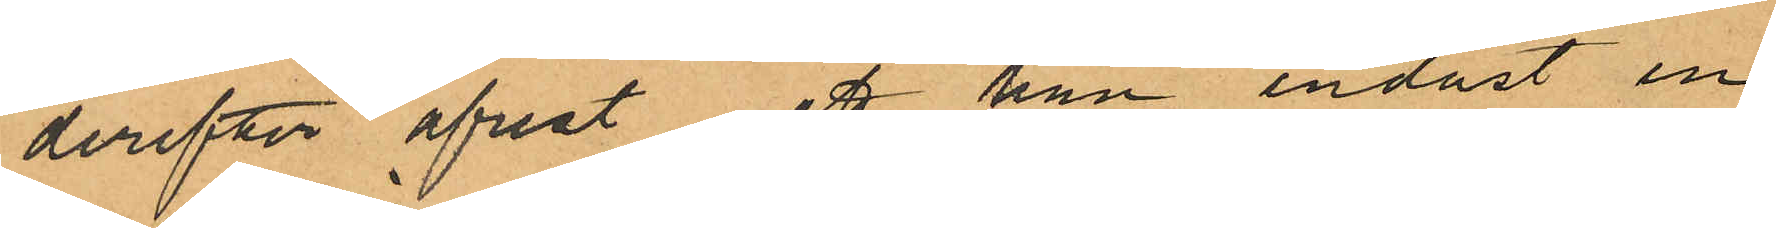derefter afrest, att han endast en
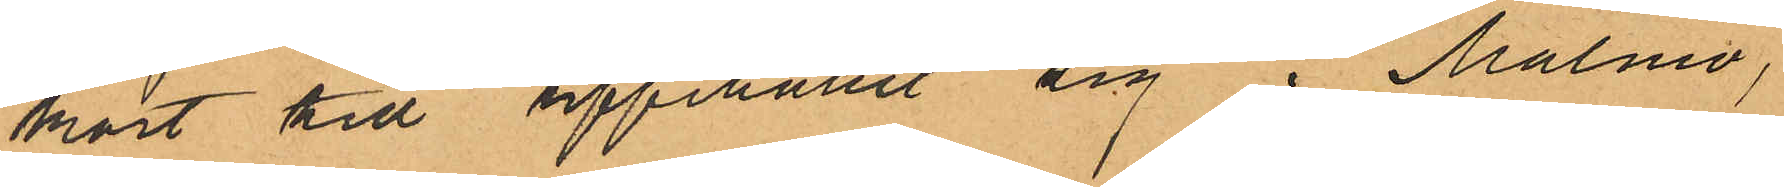kort till uppehållit sig i Malmö,
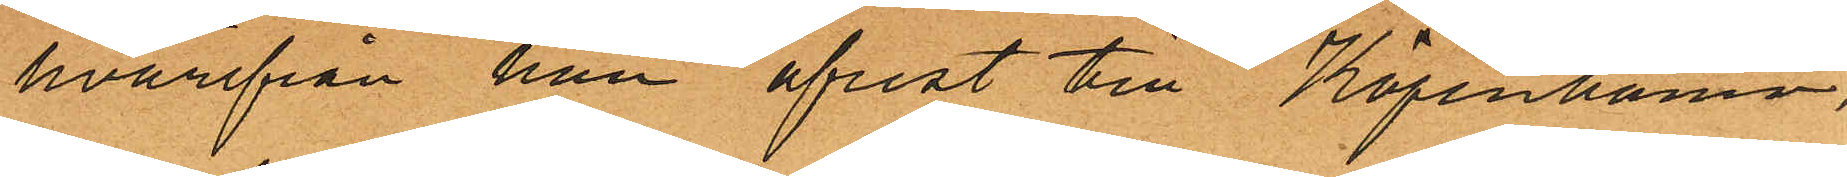hvarifrån han afrest till Köpenhamn,
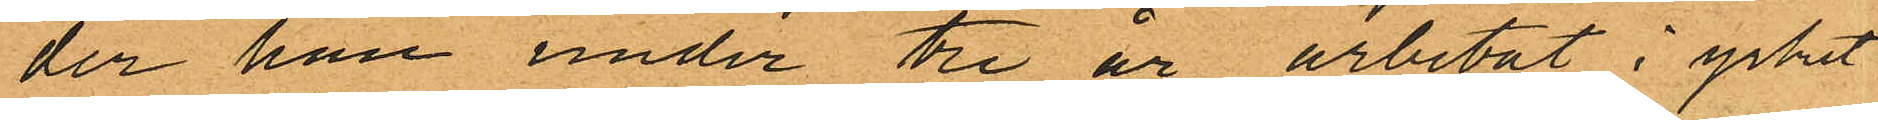der han under tre år arbetat i yrket
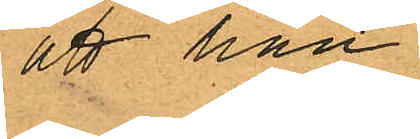att han
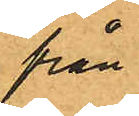från
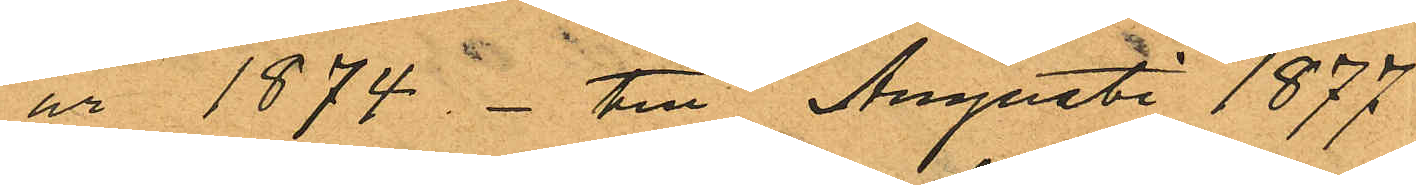år 1874 - till Augusti 1877
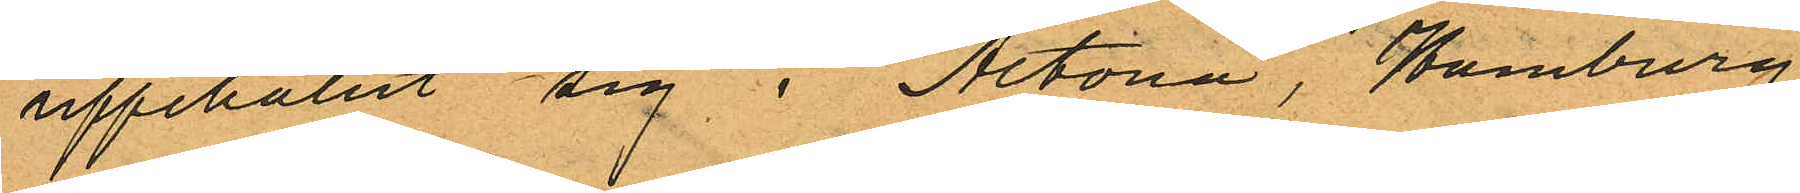uppehållit sig i Altona, Hamburg
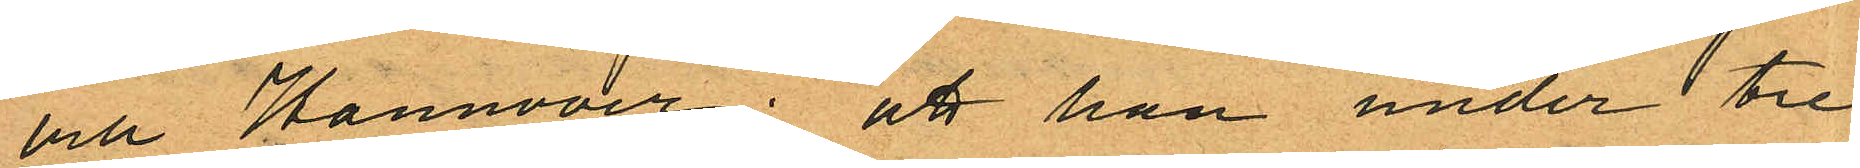och Hannover; att han under tre
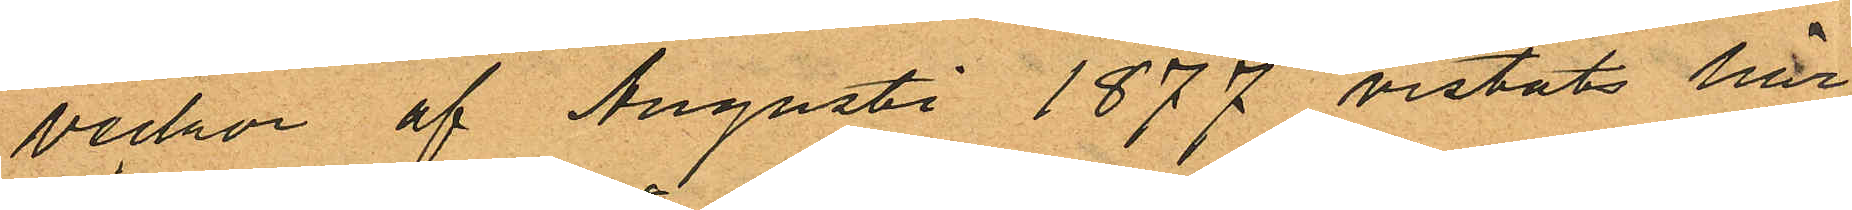veckor af Augusti 1877 vistats här
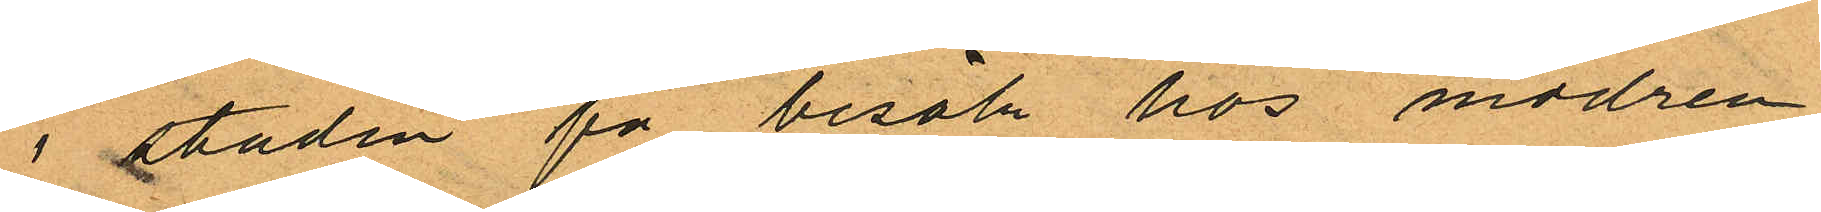i staden på besök hos modren;
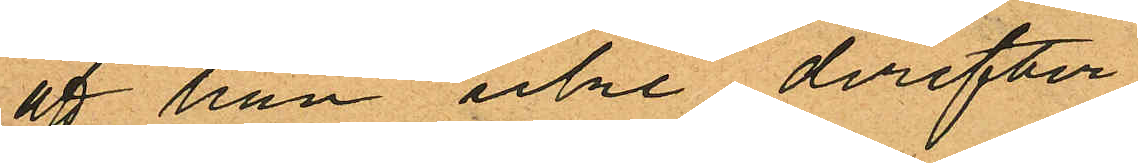att han icke derefter
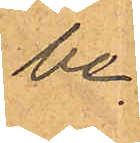be
